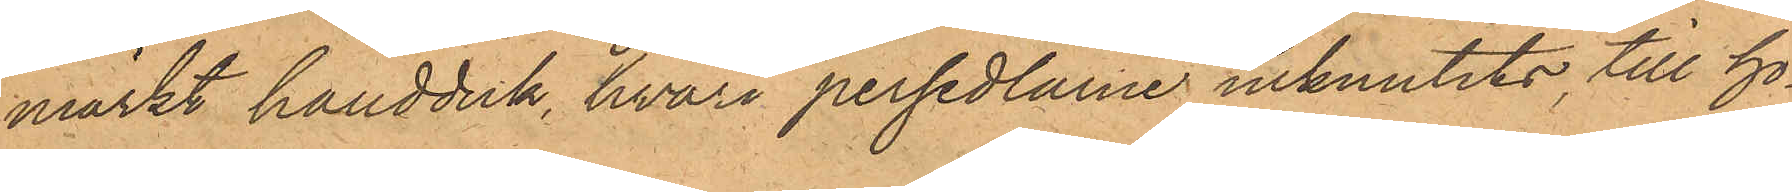märkt handduk, hvari persedlarne inknutits, till ho¬
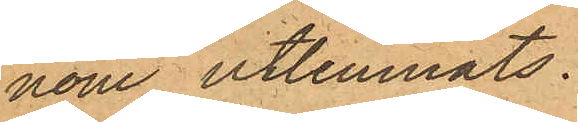nom utlemnats.
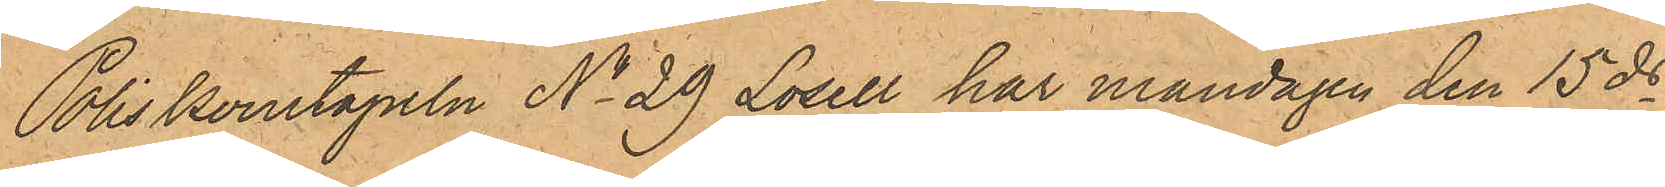Poliskonstapeln No 29 Losell har måndagen den 15 ds
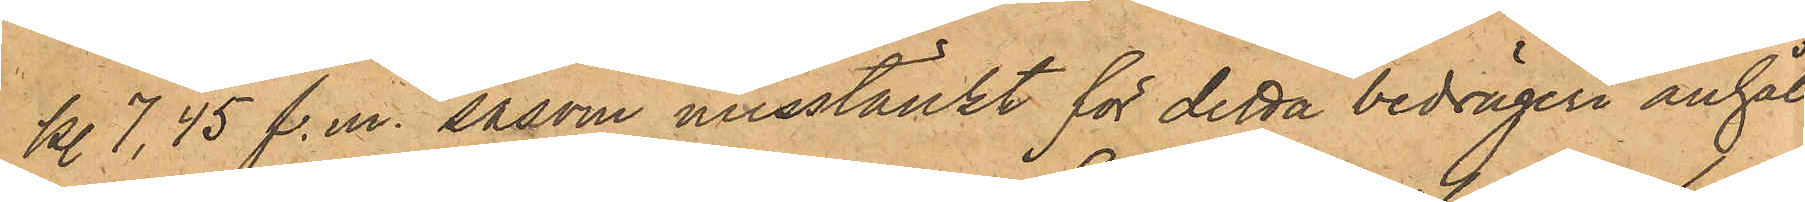kl 7,45 f.m. såsom misstänkt för detta bedrägeri anhål¬
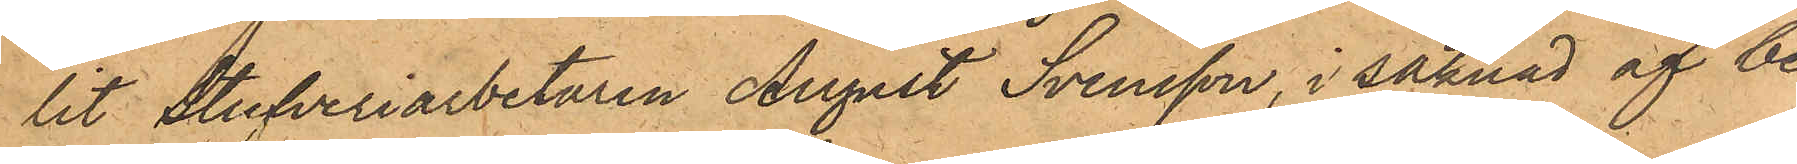lit stufveriarbetaren August Svensson, i saknad af be¬
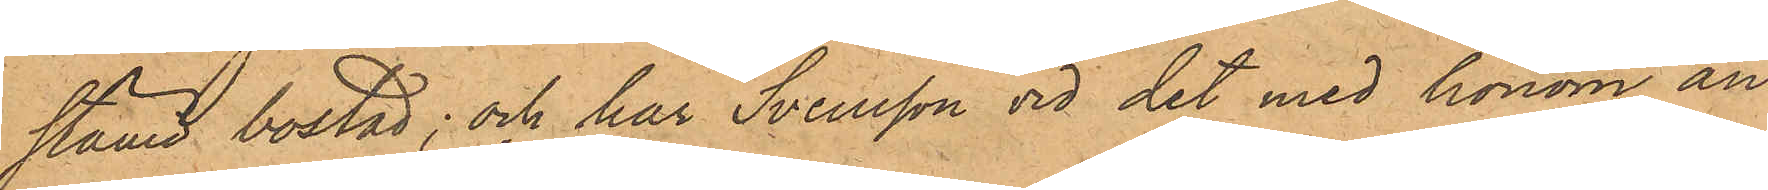stämd bostad; och har Svensson vid det med honom an¬
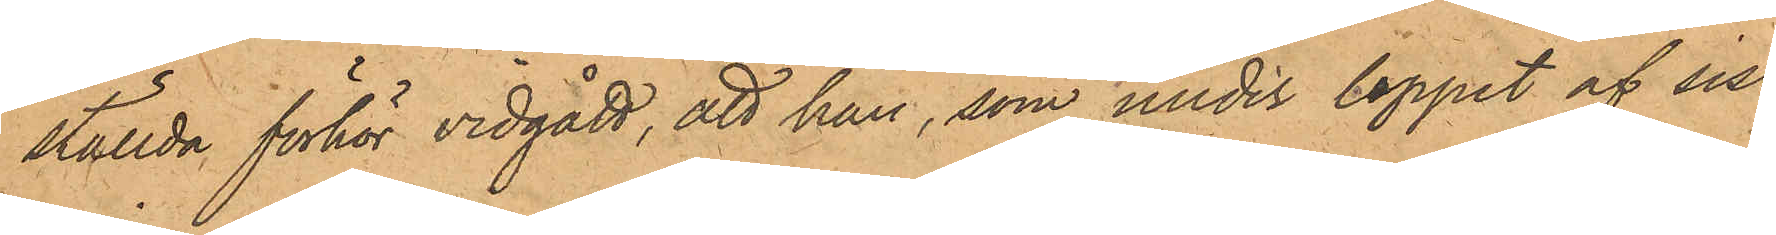ställda förhör vidgått, att han, som under loppet af sist¬
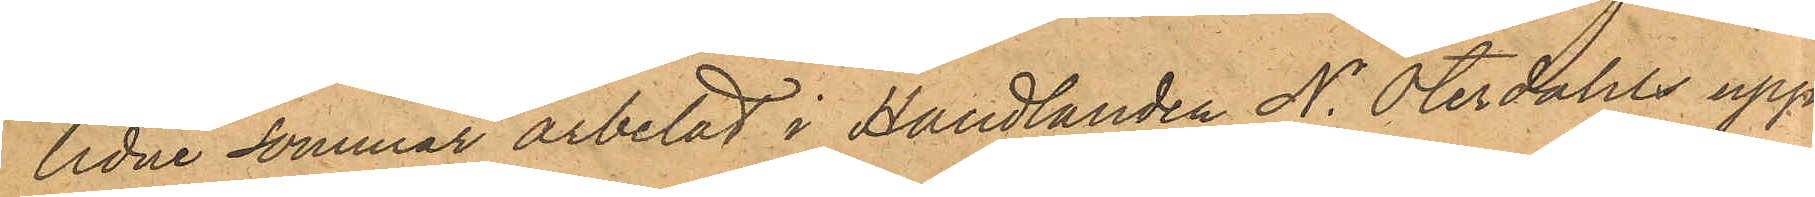lidne sommar arbetat i Handlanden N. Oterdahls upp¬
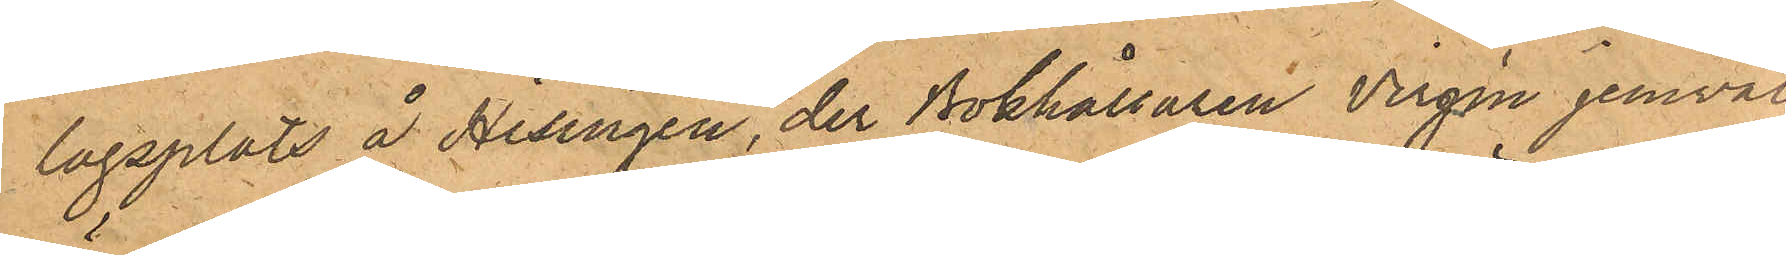lagsplats å Hisingen, der Bokhållaren Virgin jemväl
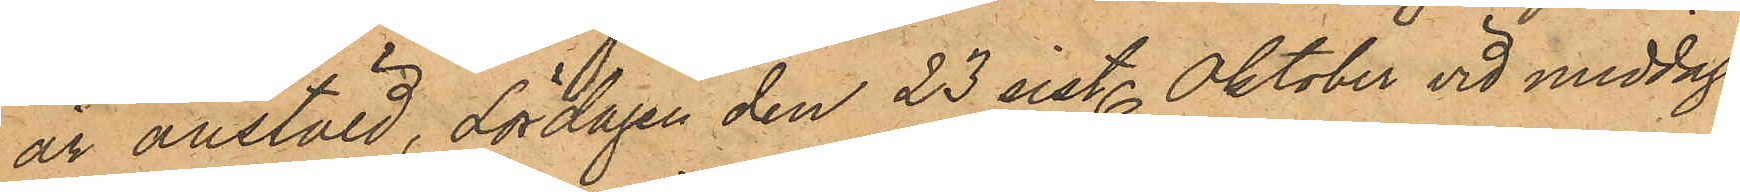är anstäld, Lördagen den 23 sist. Oktober vid middags¬
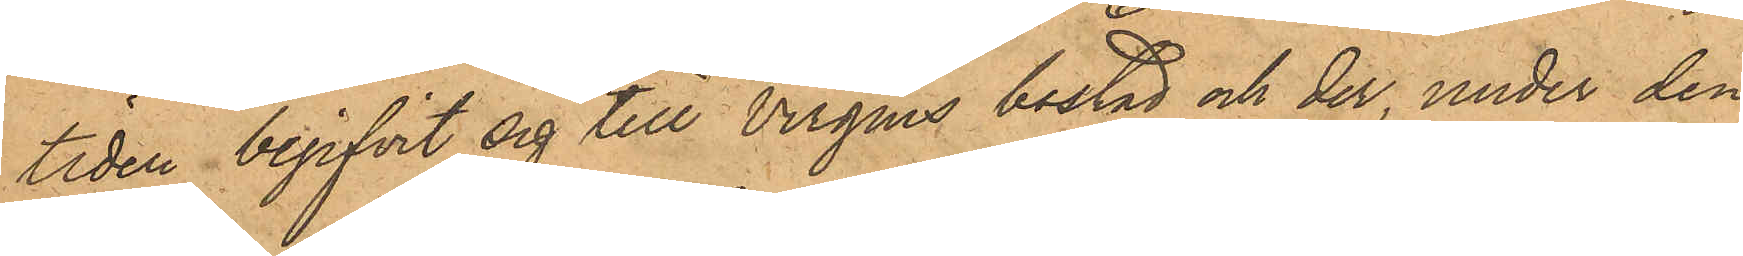tiden begifvit sig till Virgens bostad och der, under den
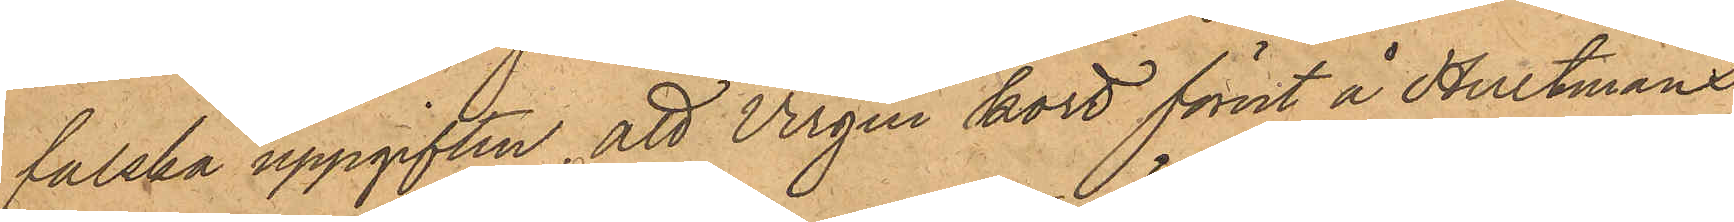falska uppgiften, att Virgen kort förut å Hultmans
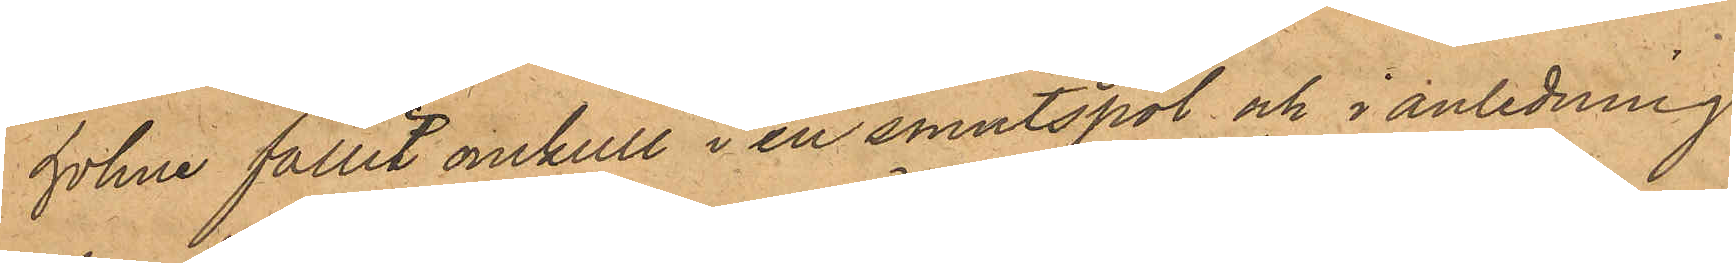holme fallit omkull i en smutspöl och i anledning
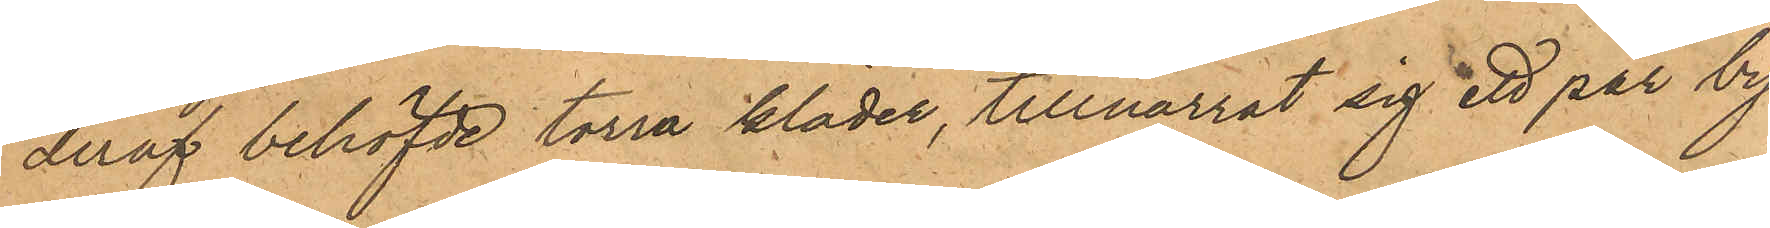deraf behöfde torra kläder, tillnarrat sig ett par by¬
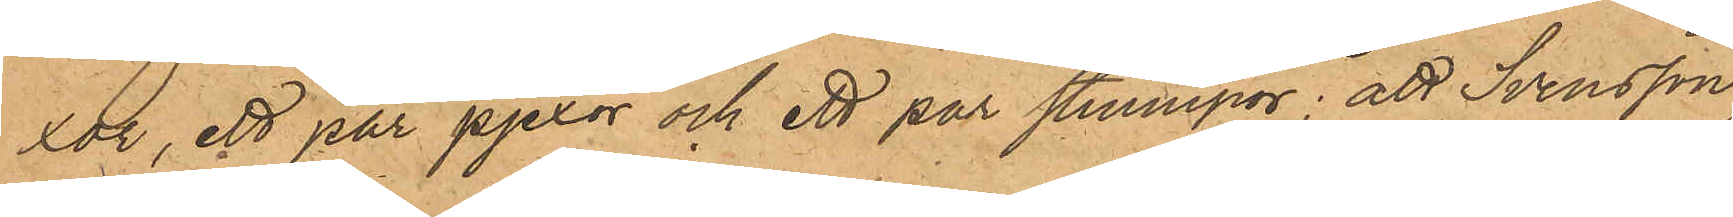xor, ett par pjexor och ett par strumpor; att Svensson
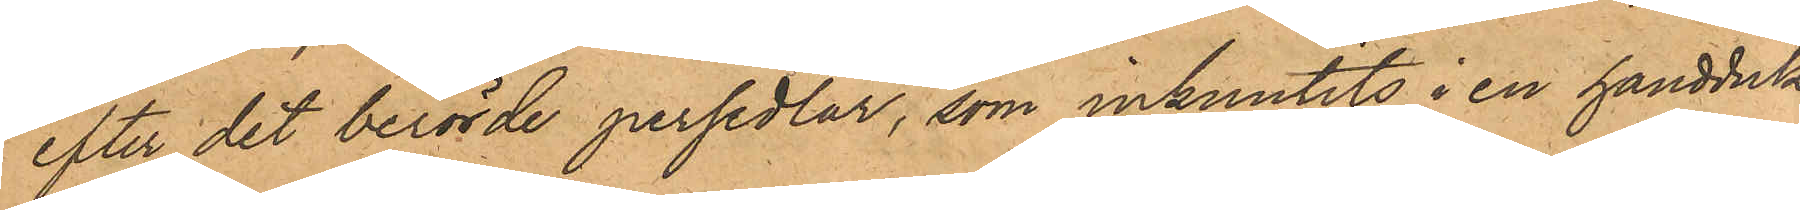efter det berörde persedlar, som inknutits i en handduk,
